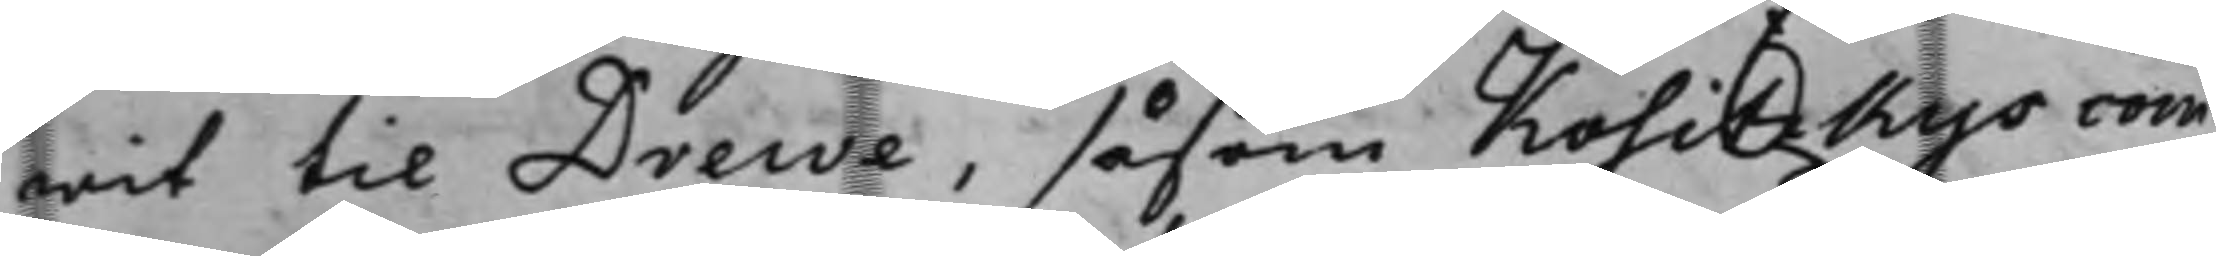wit til Drewe, såsom Kositzkys com¬
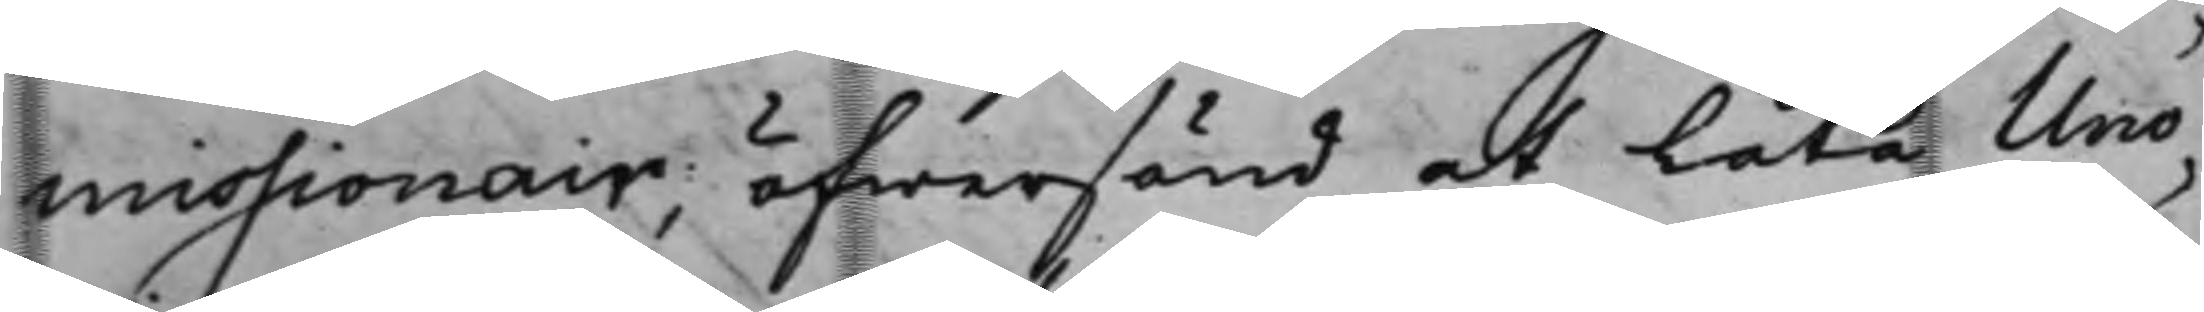missionair, öfwersänd at Låta Uno¬
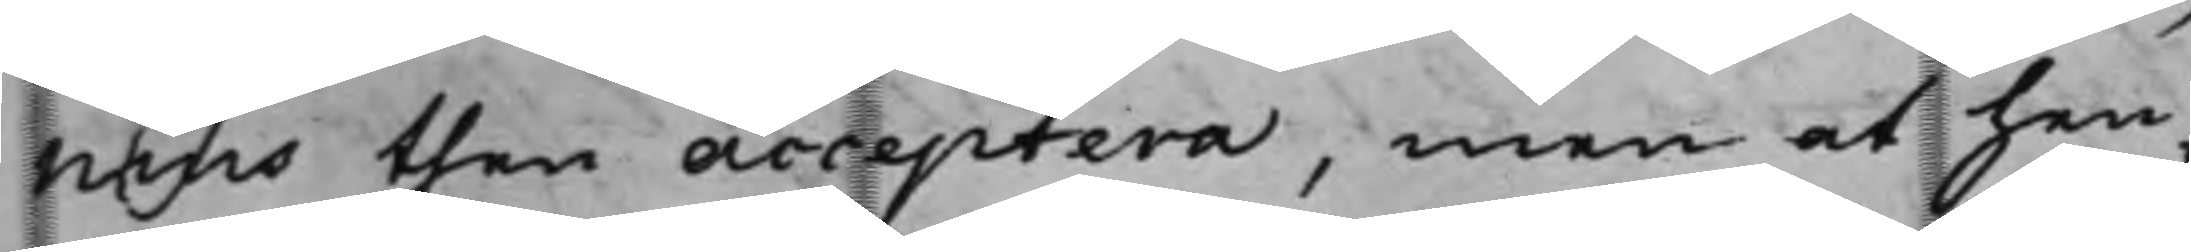nius then acceptera, men at hen¬
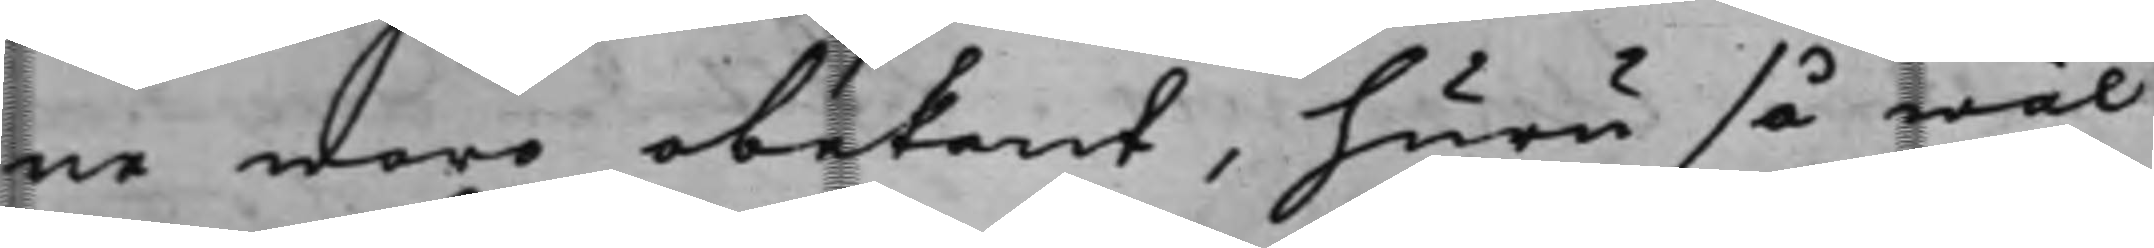ne woro obekant, huru så wäl
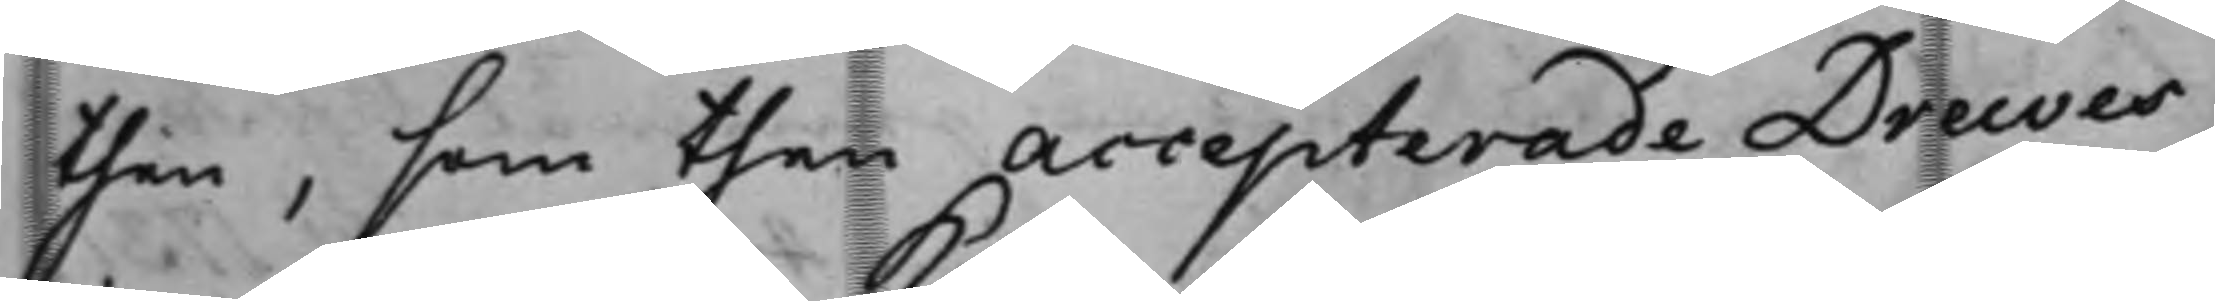then, som then accepterade Drewes
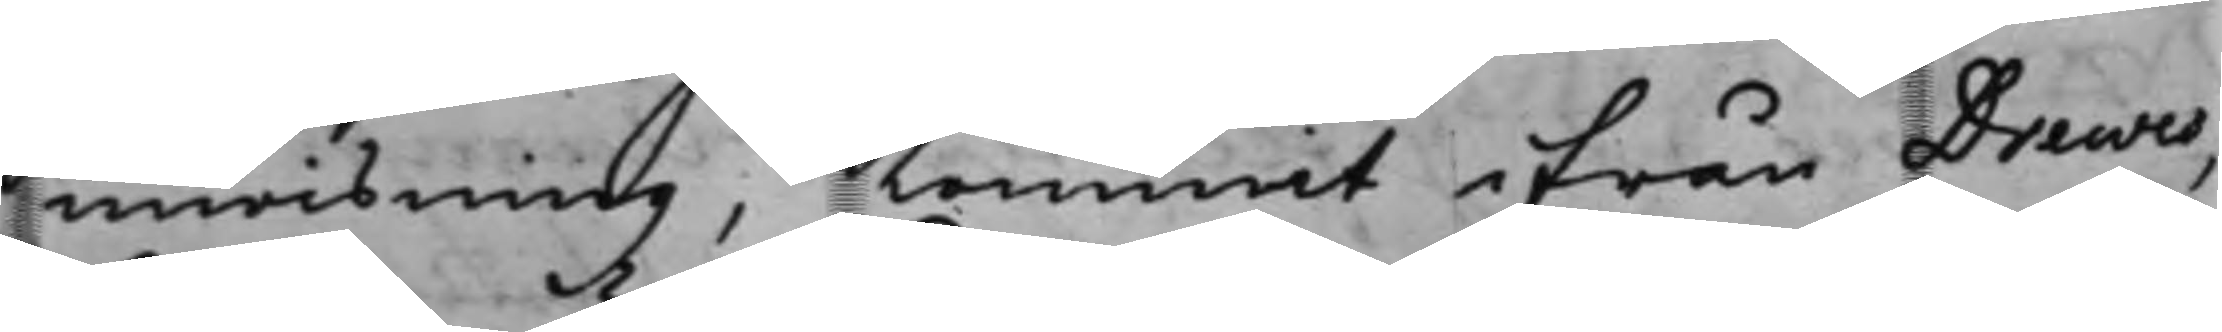inwisning, kommit ifrån Drewes,
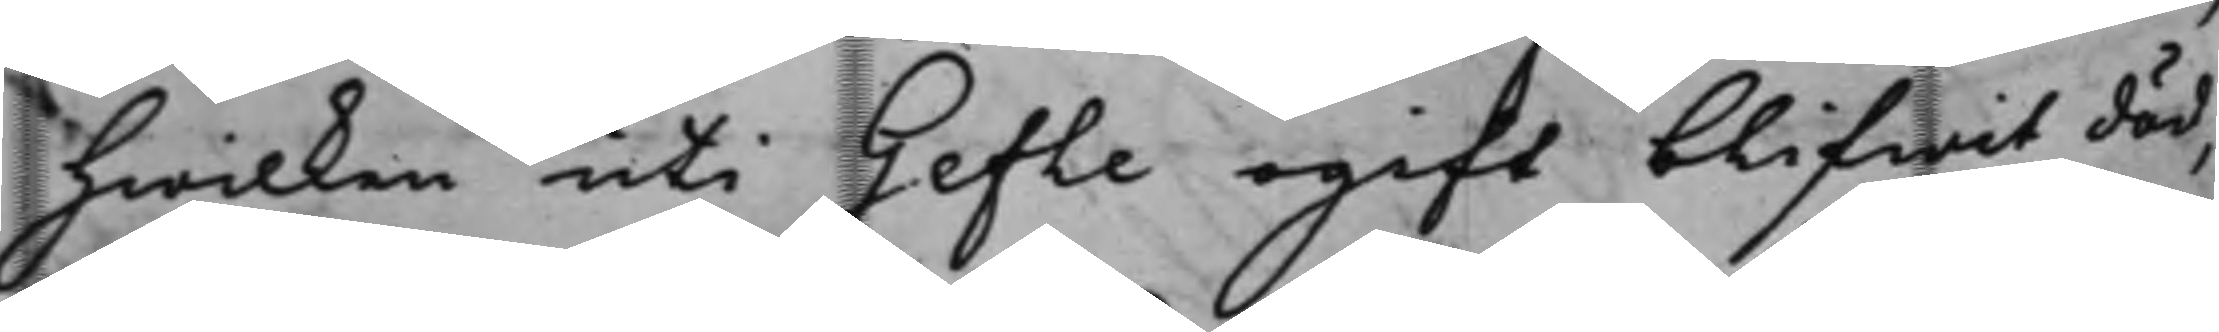hwilken uti Gefle ogift blifwit död,
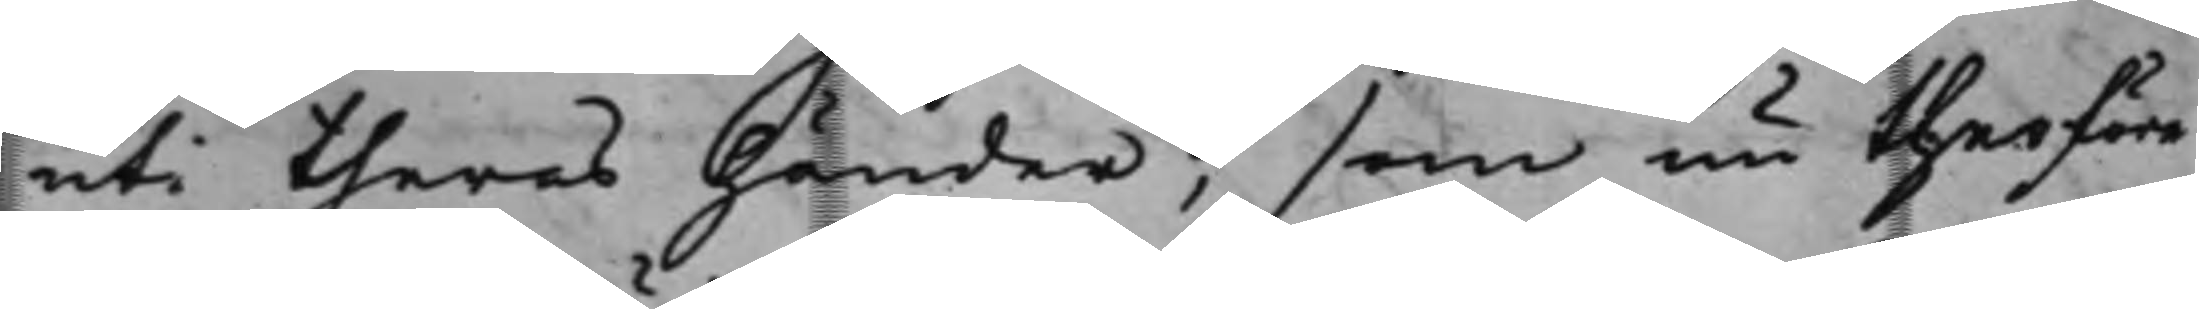uti theras Händer, som nu therföre
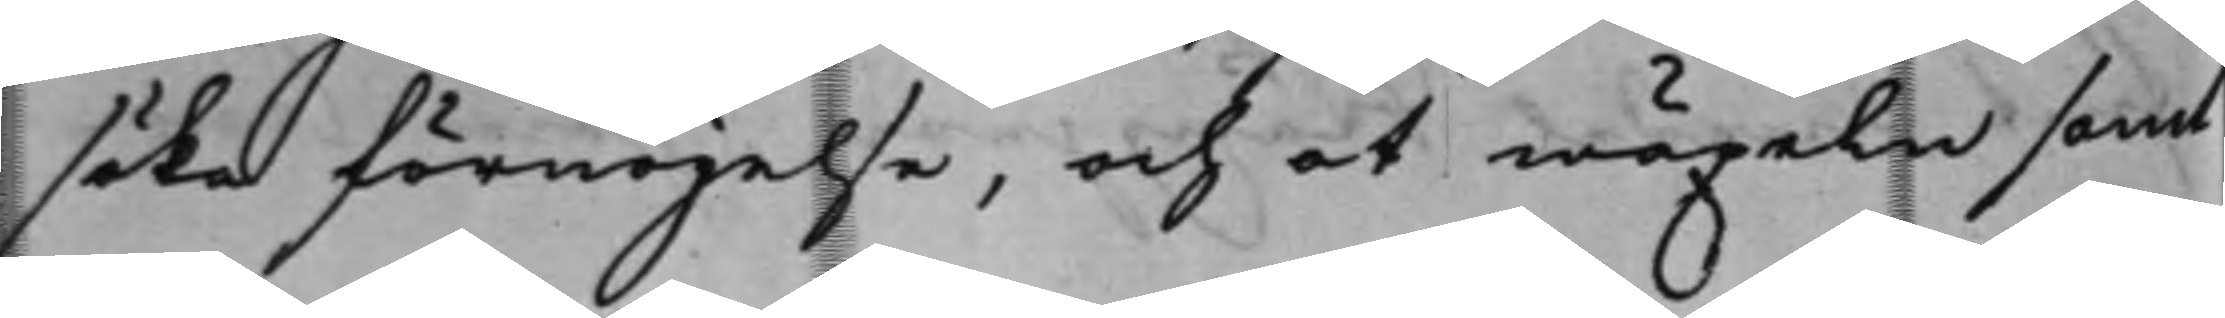söka förnöjelse, och at wäxeln samt
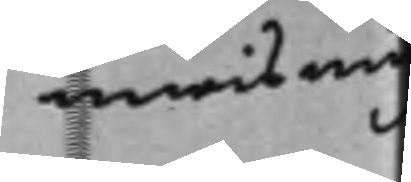inwisning
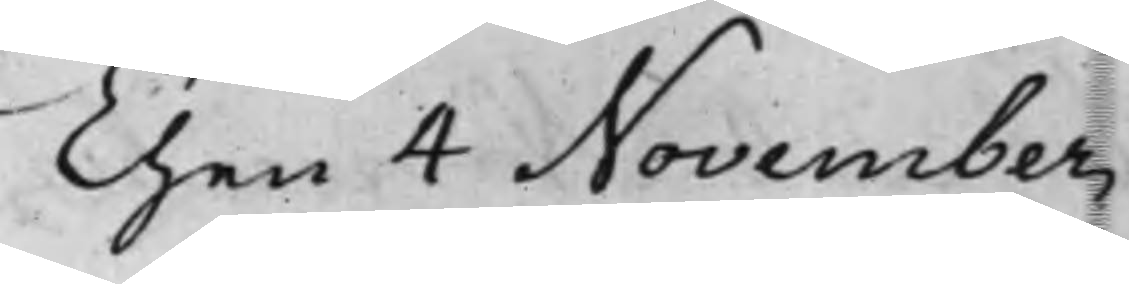Then 4 November
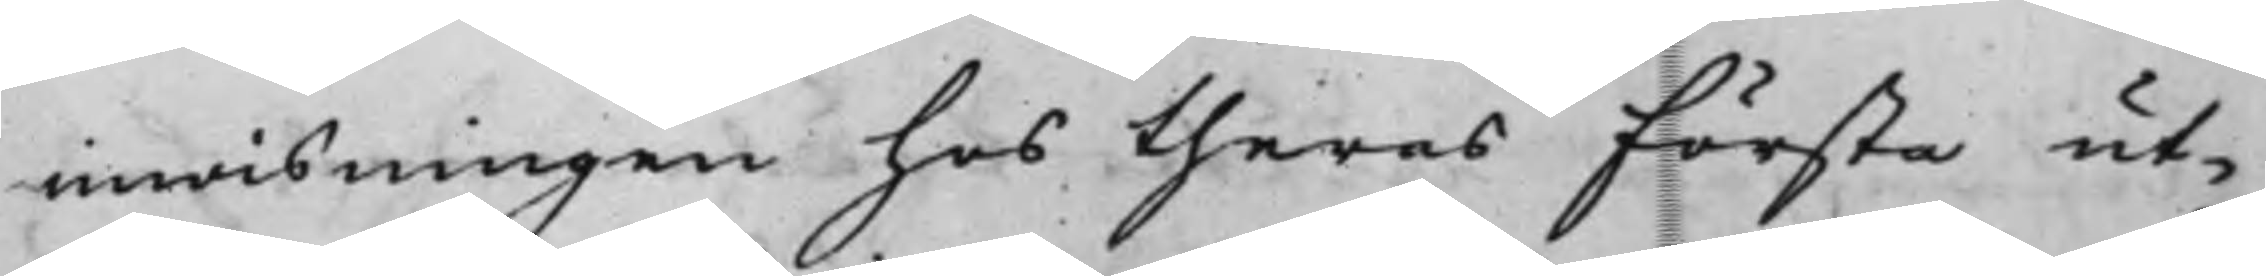inwisningen hos theras första ut¬
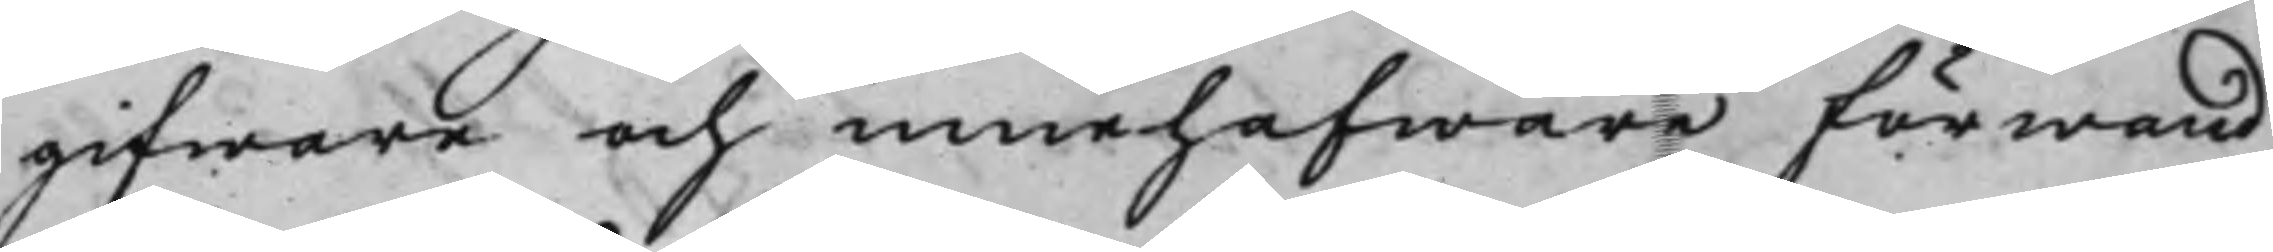gifware och innehafware förwand¬
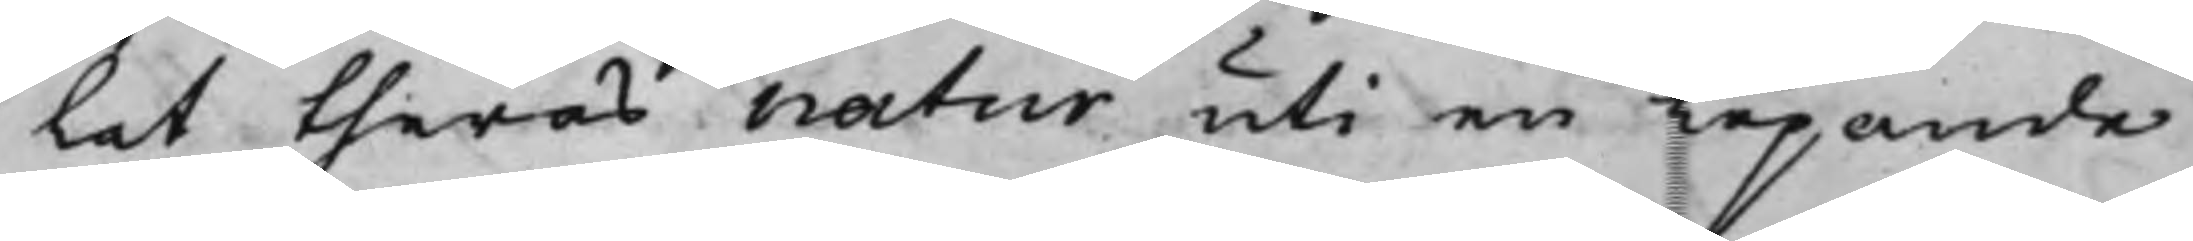lat theras natur uti en löpande
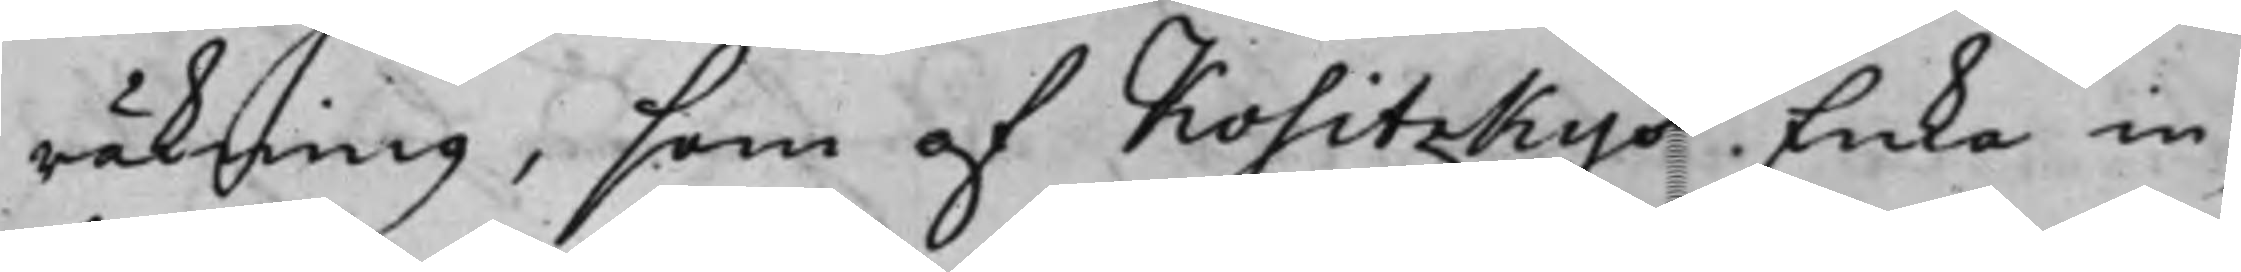räkning, som af Kositzkys Enka in¬
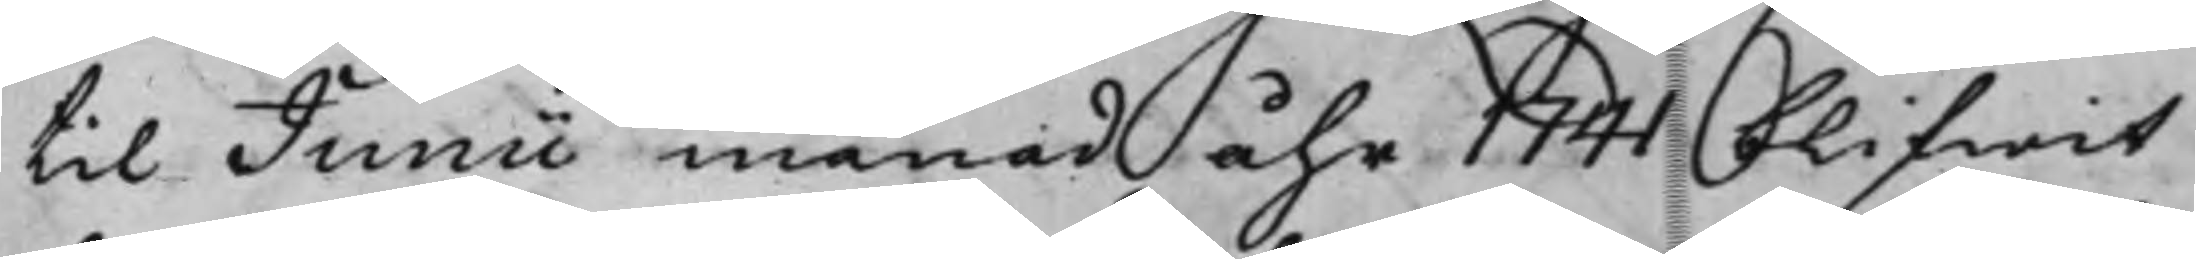til Junii månad åhr 1741 blifwit
